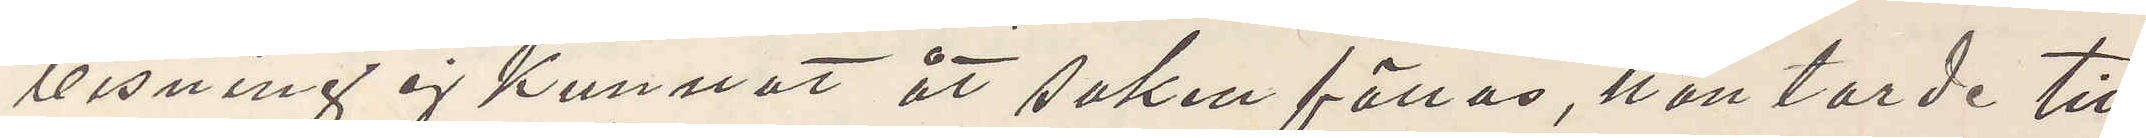visning ej kunnat åt saken fällas, han torde till
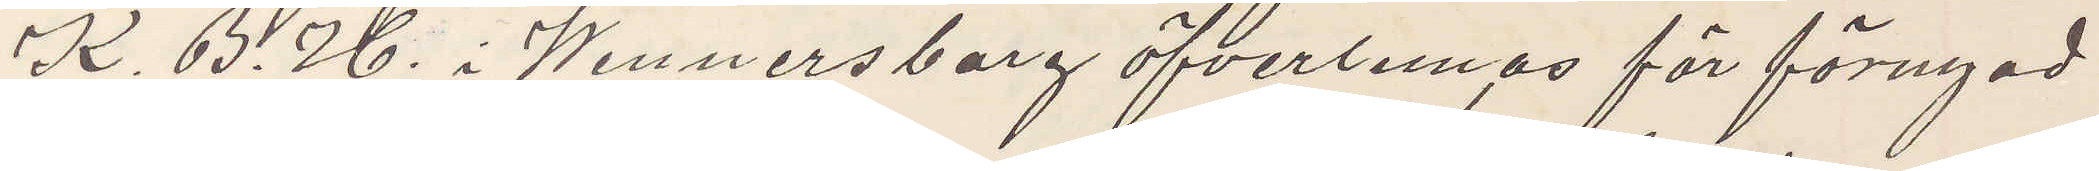K. B. H. i Wennersborg öfverlemnas för förnyad
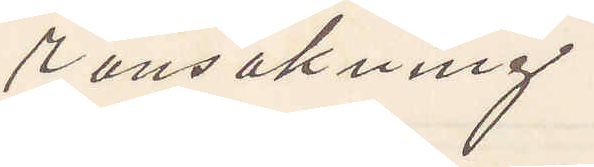ransakning.
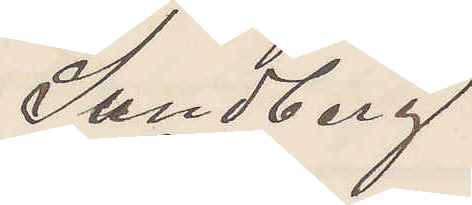Sundberg
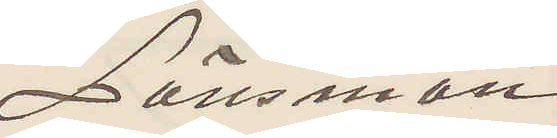Länsman
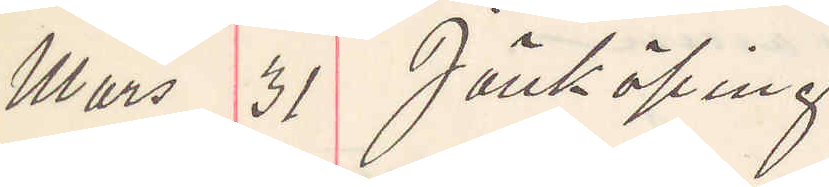Mars 31 Jönköping
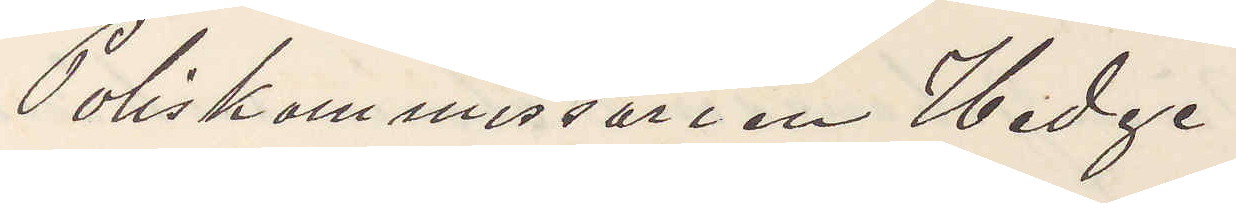Poliskommissarien Hedge
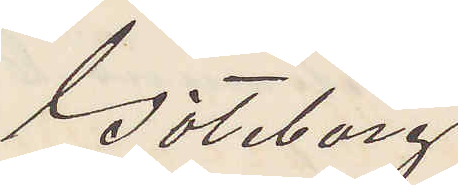Göteborg
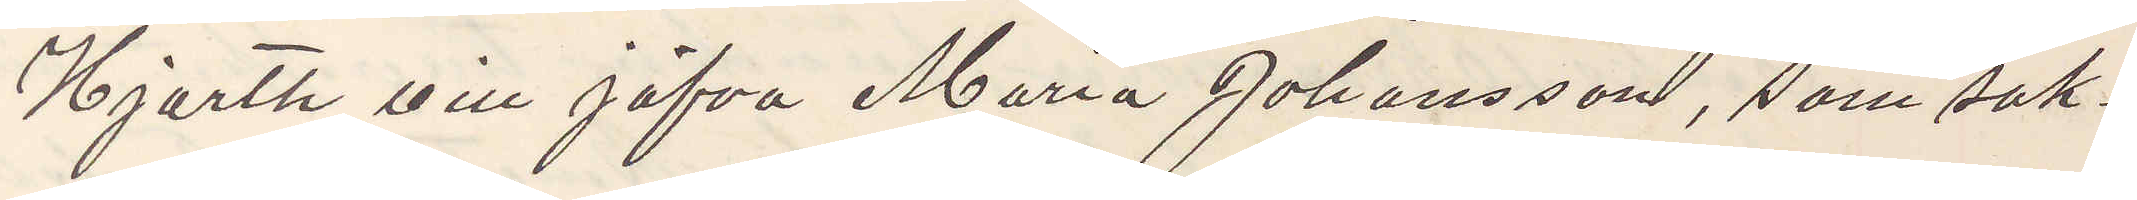Hjorth vill jäfva Maria Johansson, som sak¬
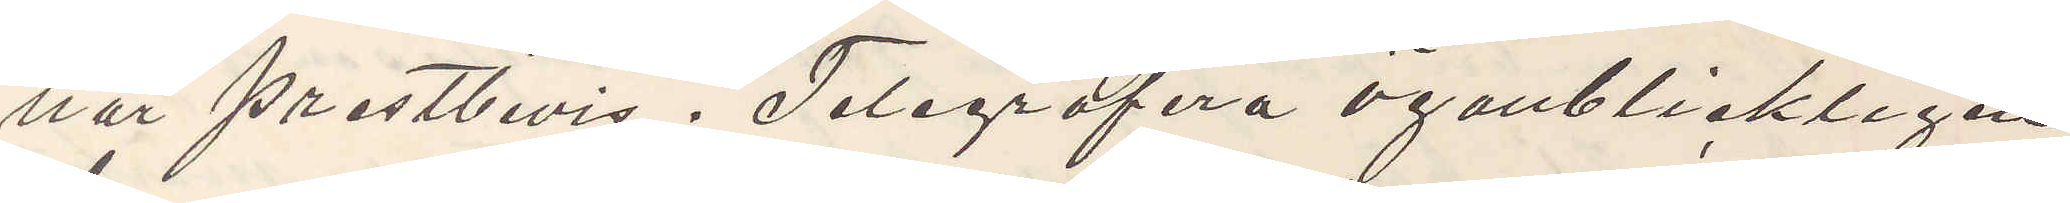nar prestbevis. Telegrafera öganblickligen
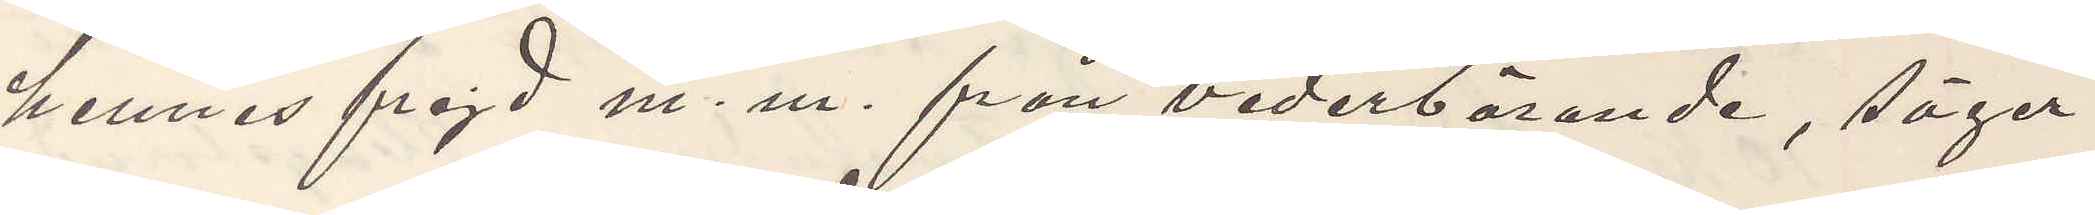hennes frejd m. m. från vederbörande, säger
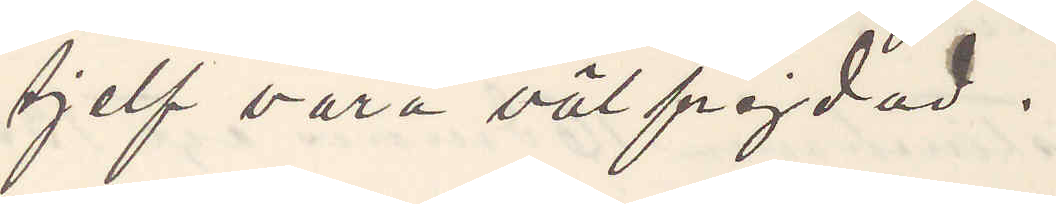sjelf vara välfrejdad.
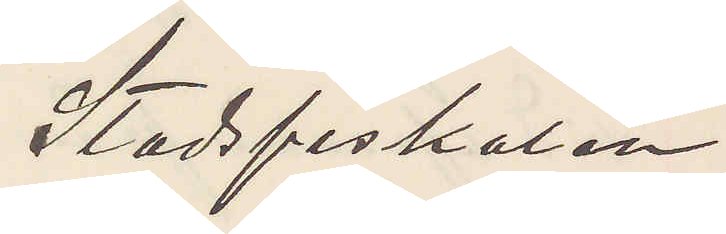Stadsfiskalen
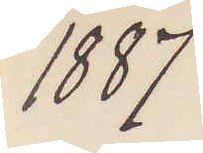1887
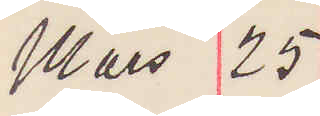Mars 25
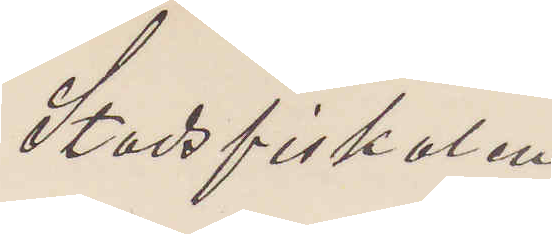Stadsfiskalen
